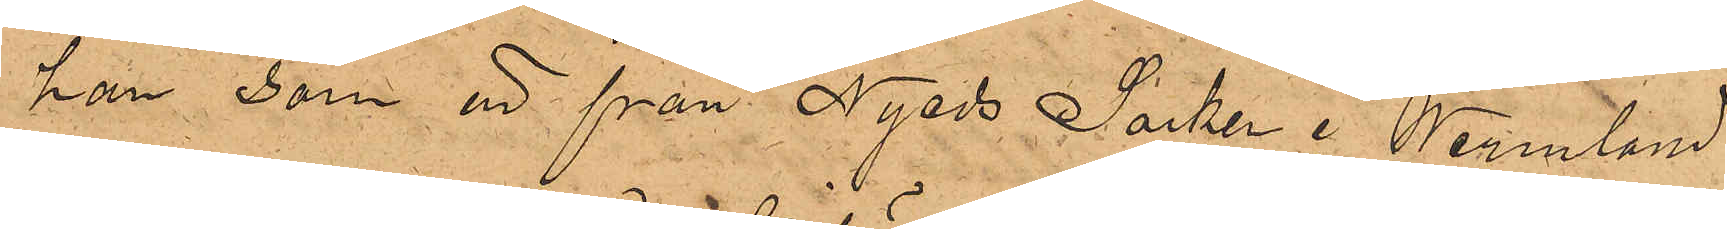han, som är från Nyeds Socken i Wermland
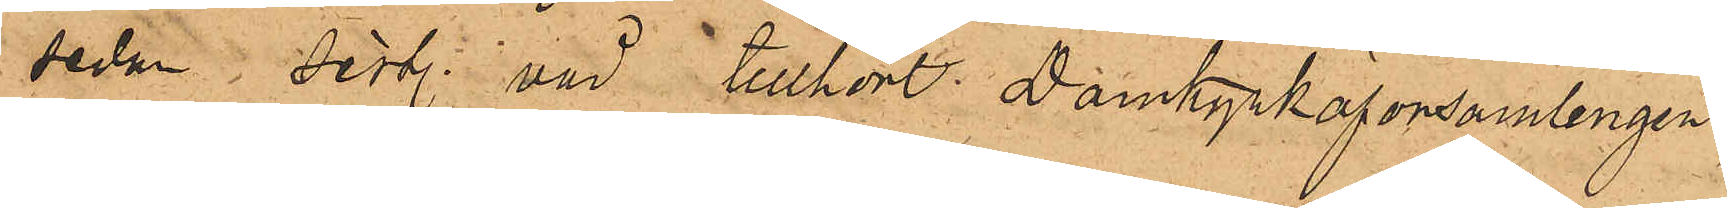sedan sistl. vår tillhört Domkyrkoförsamlingen,
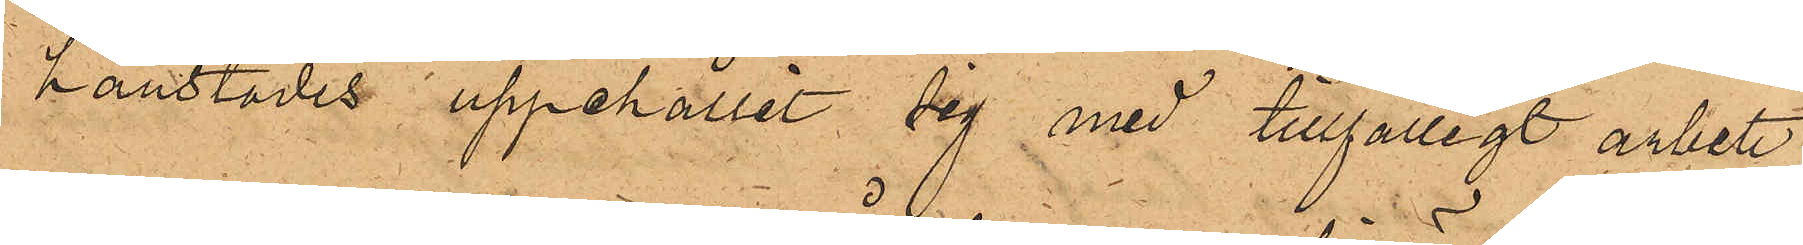härstädes uppehållit sig med tillfälligt arbete,
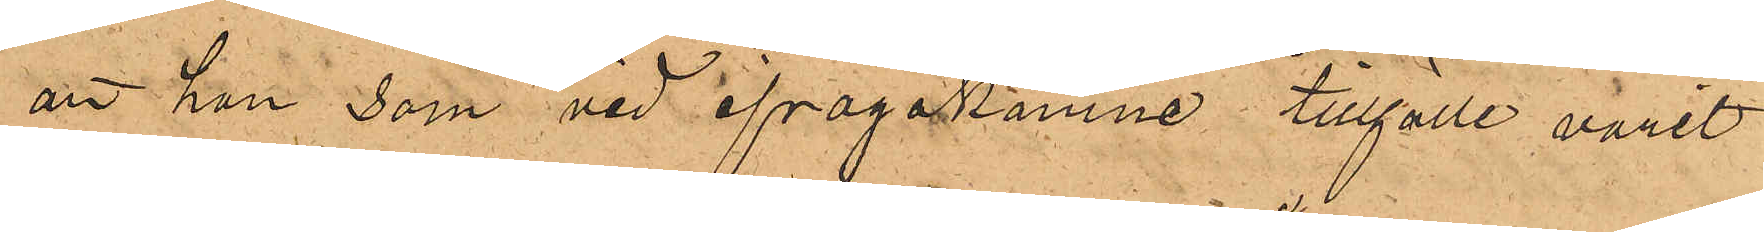att han som vid ifrågakomne tillfälle varit
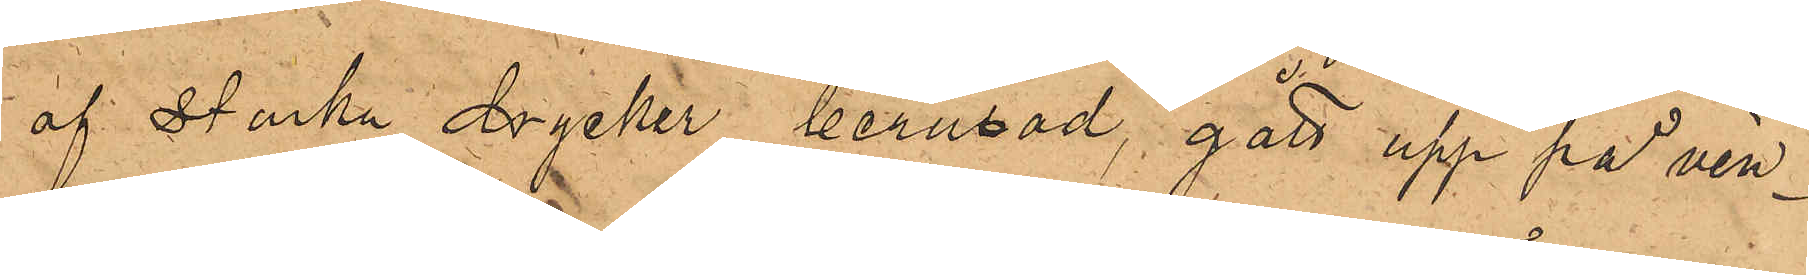af Starka drycker berusad, gått upp på vin¬
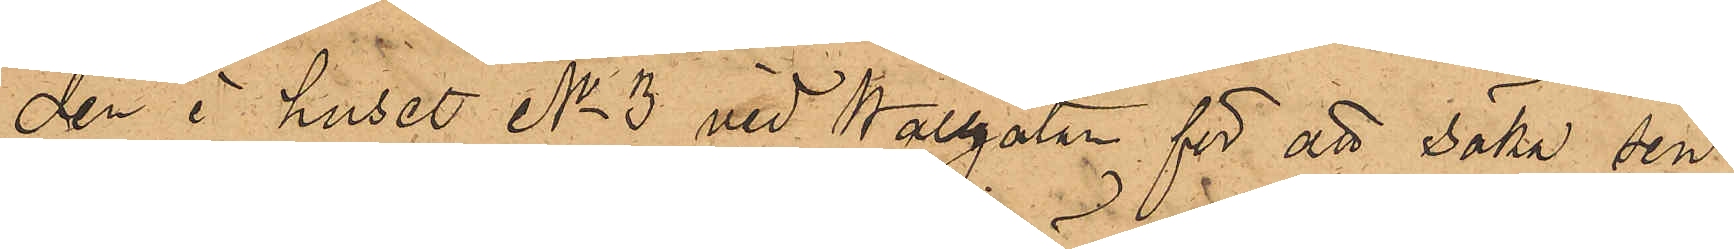den i huset No 3 vid Wallgatan för att söka sin
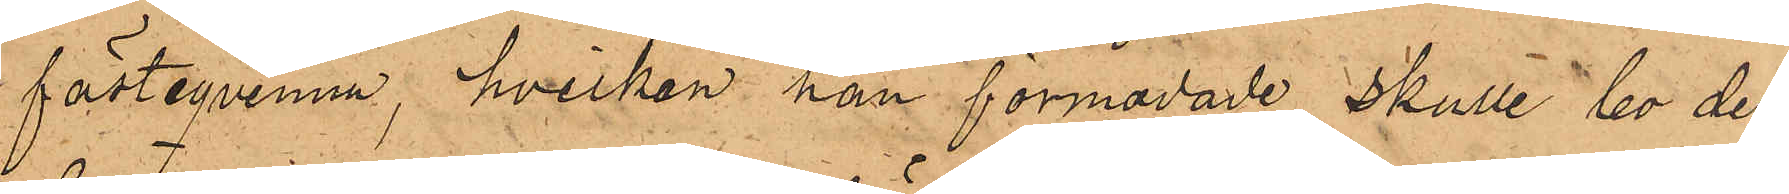fästeqvinna, hvilken han förmodade skulle bo der,
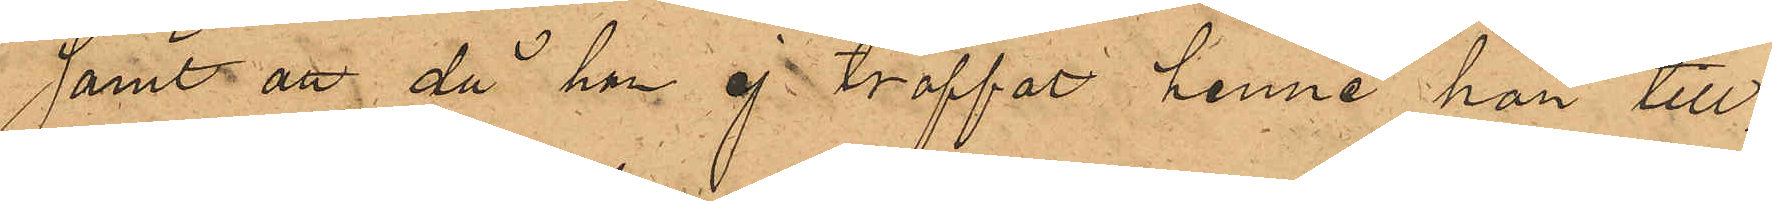samt att då han ej träffat henne han till¬
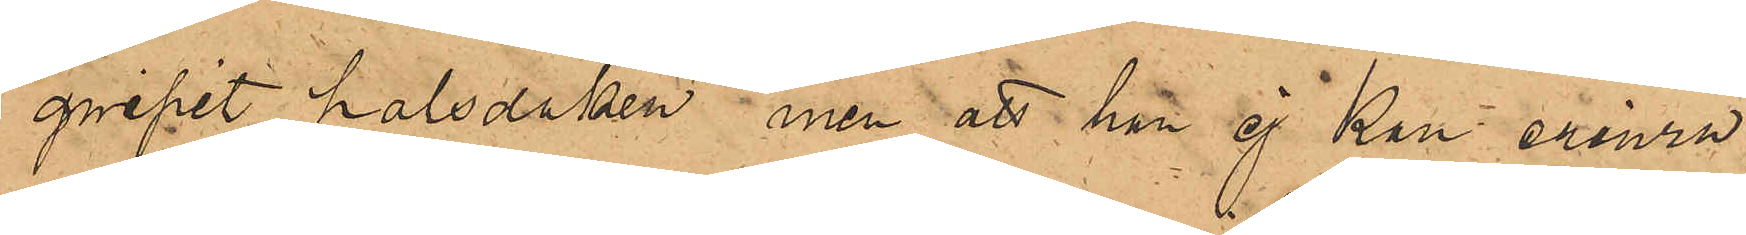gripit halsduken men att han ej kan erinra
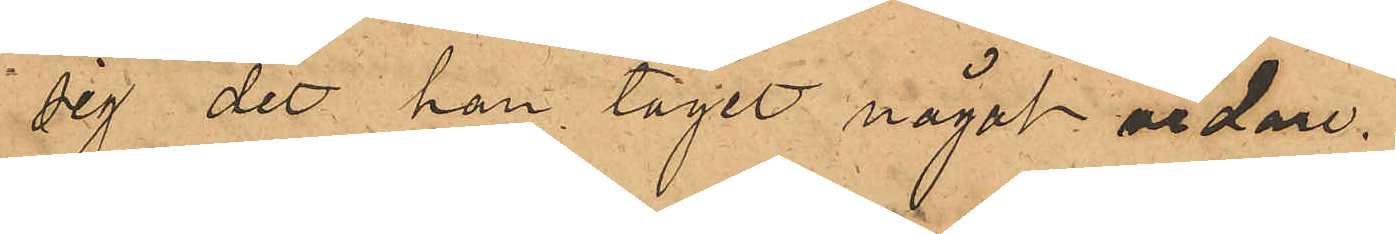sig det han tagit något vidare.
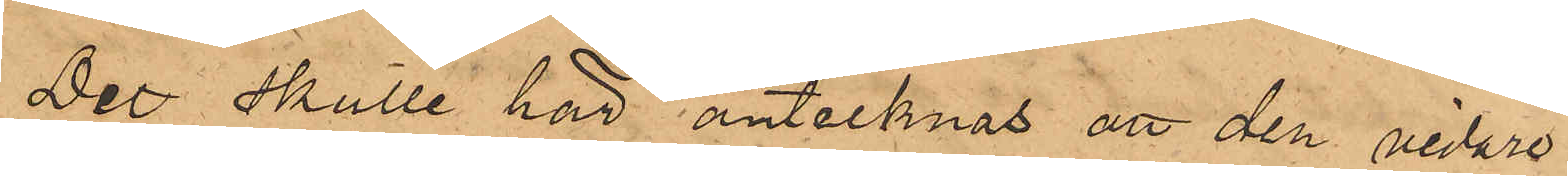Det skulle här antecknas att den vidare
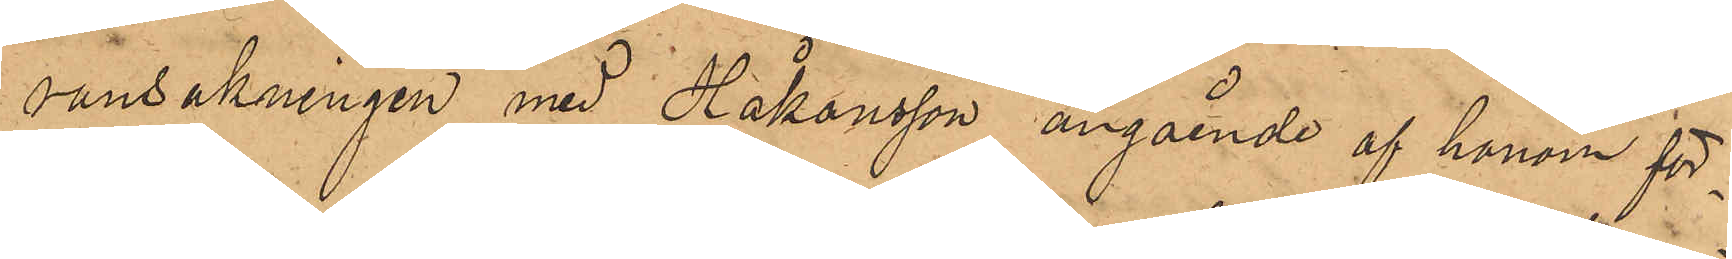ransakningen med Håkansson angående af honom för¬
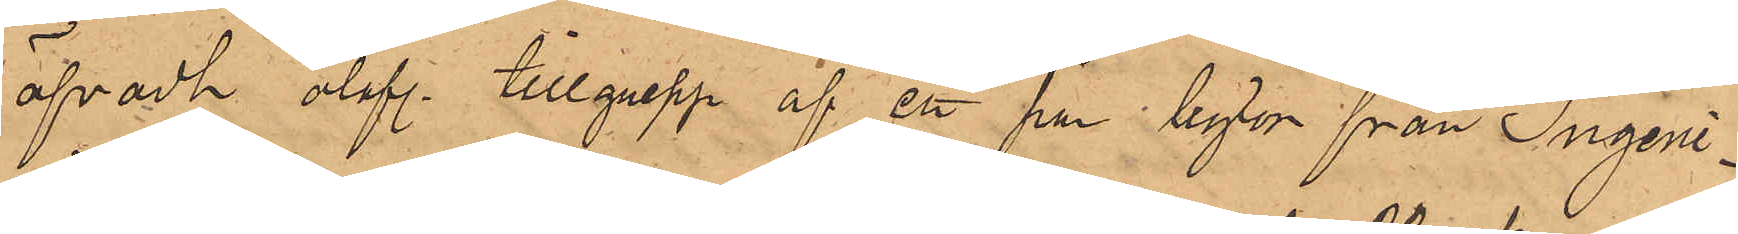öfvadt olofl. tillgrepp af ett par byxor från Ingeni¬
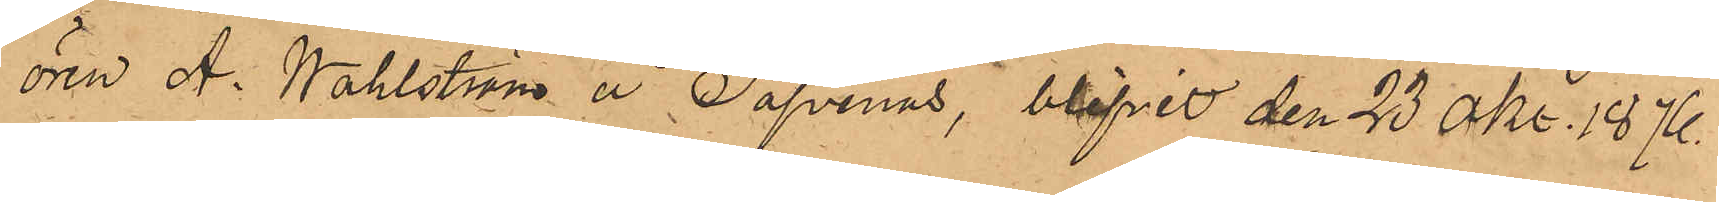ören A. Wahlström å Säfvenäs, blifvit den 23 Okt. 1876
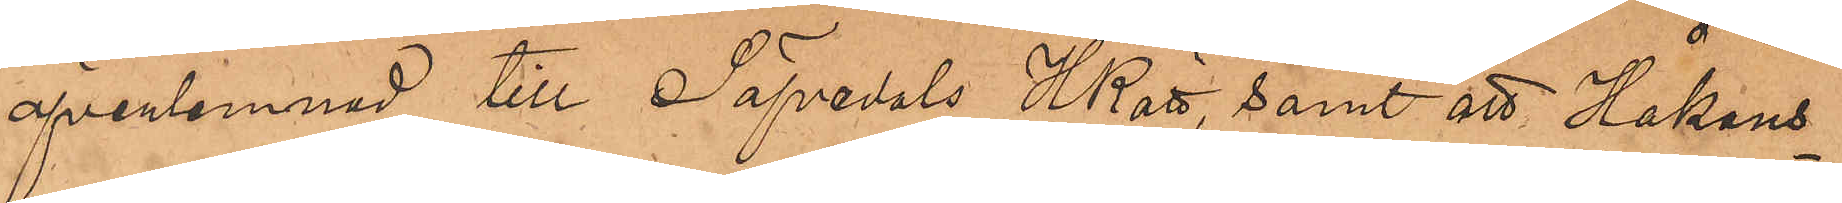öfverlemnad till Säfvedals HRätt, samt att Håkans¬
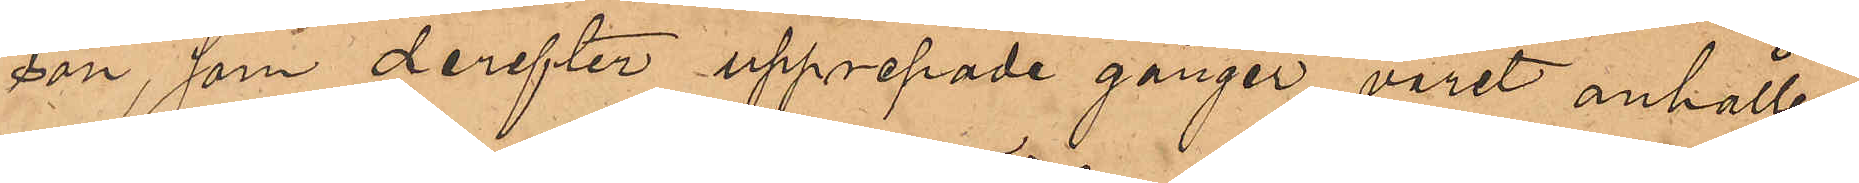son, som derefter upprepade gånger varit anhållen
